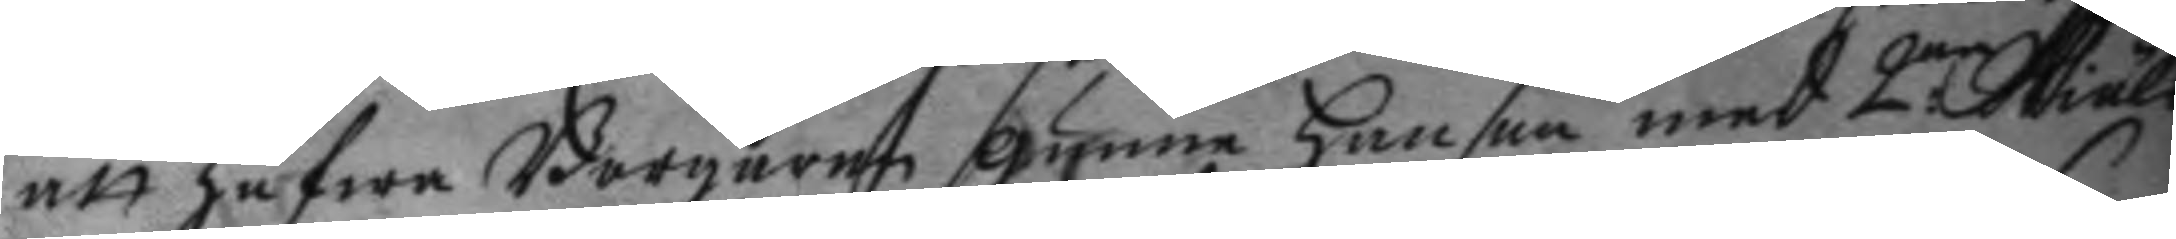att hafwa Borgaren gumme hanson med 2:ne Skiäls¬
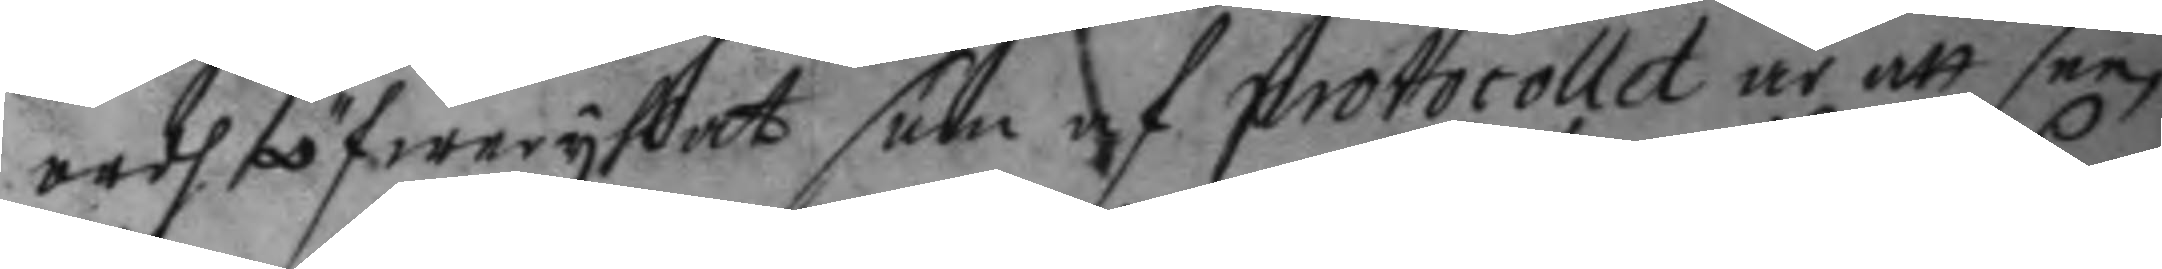ordh öfwerryflat som af protocollet är att see,
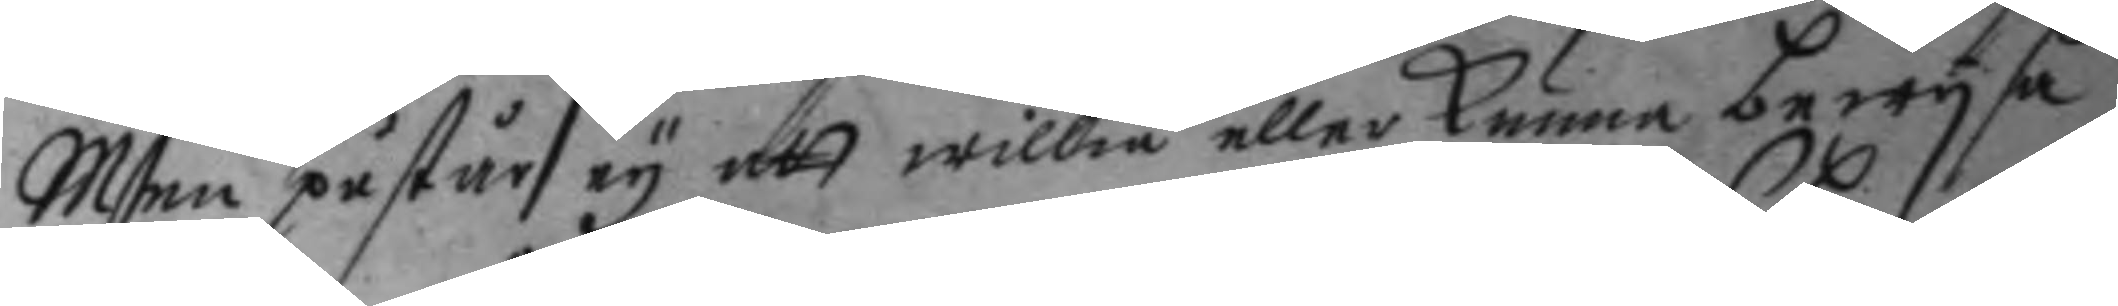Men påstår ey att willia eller kunna bewysa
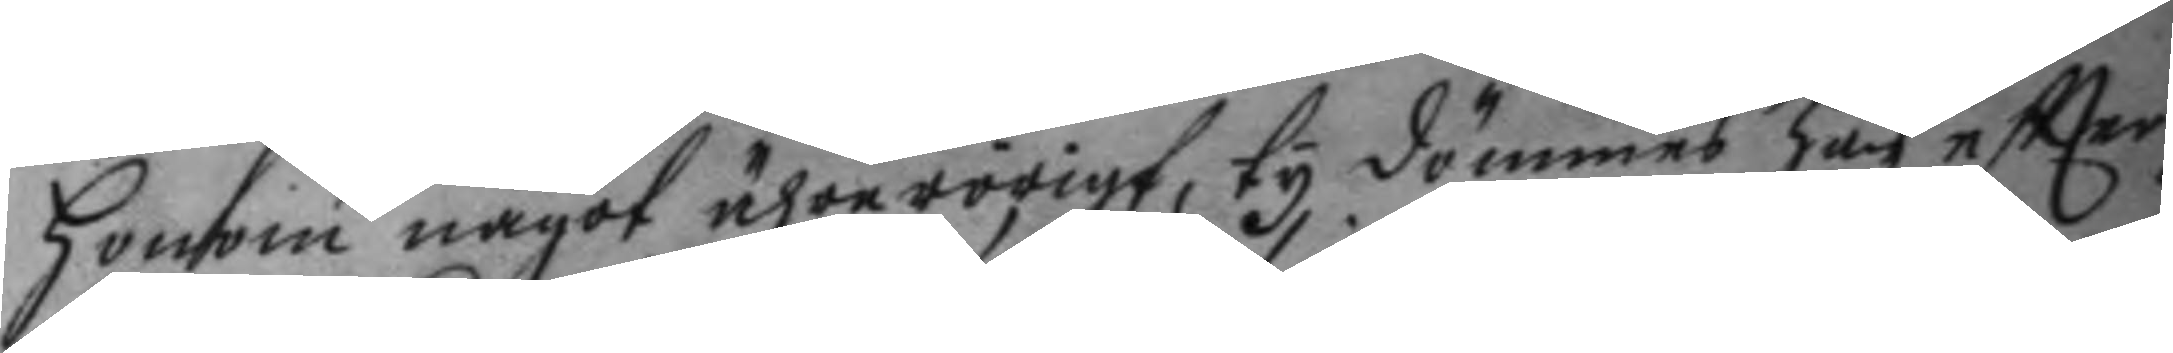honom något ährerörigt, ty dömmes han eftter
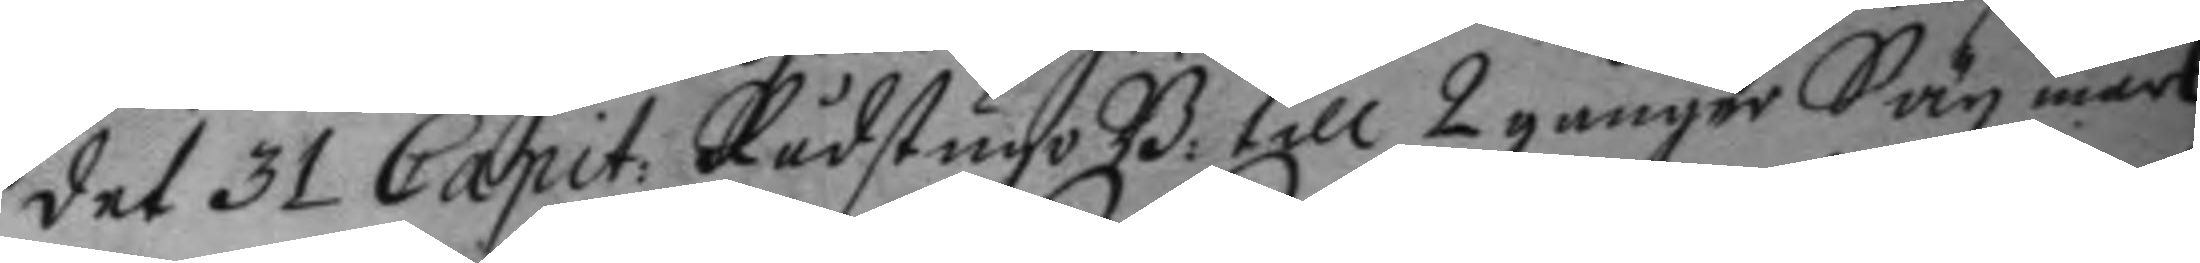det 31 Capit: Rådstugo B: till 2 gånger Säx mark
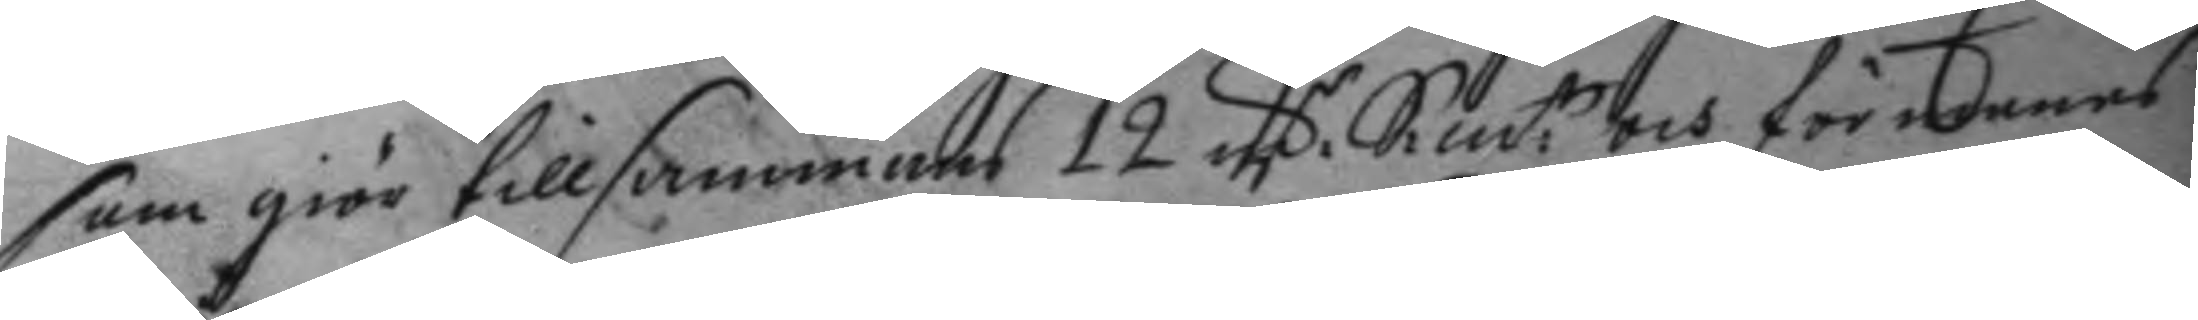som giör tillsammans 12 mC Sm:t och för manas
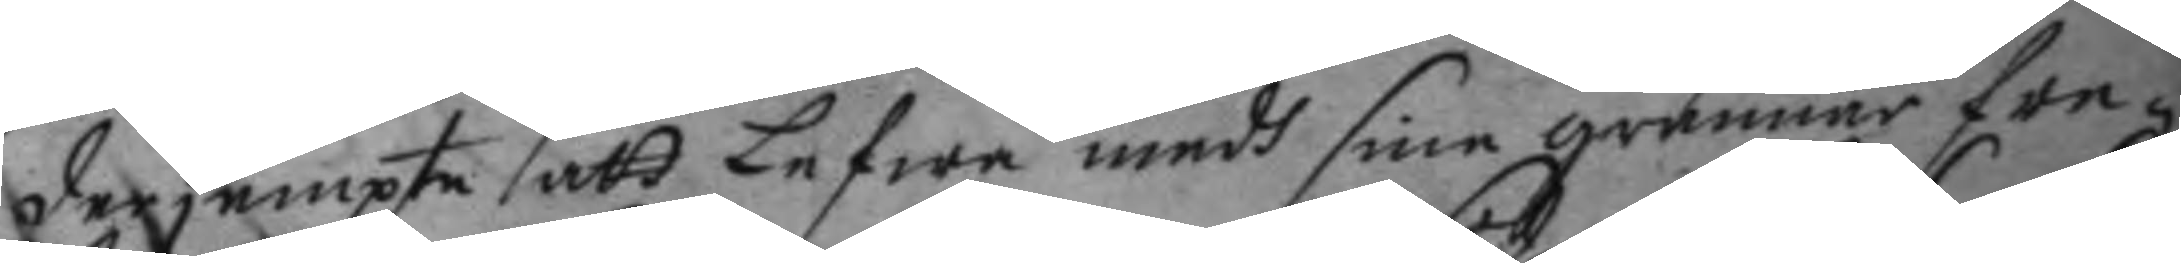der jempte att Lefwa medh sine grannar fre¬
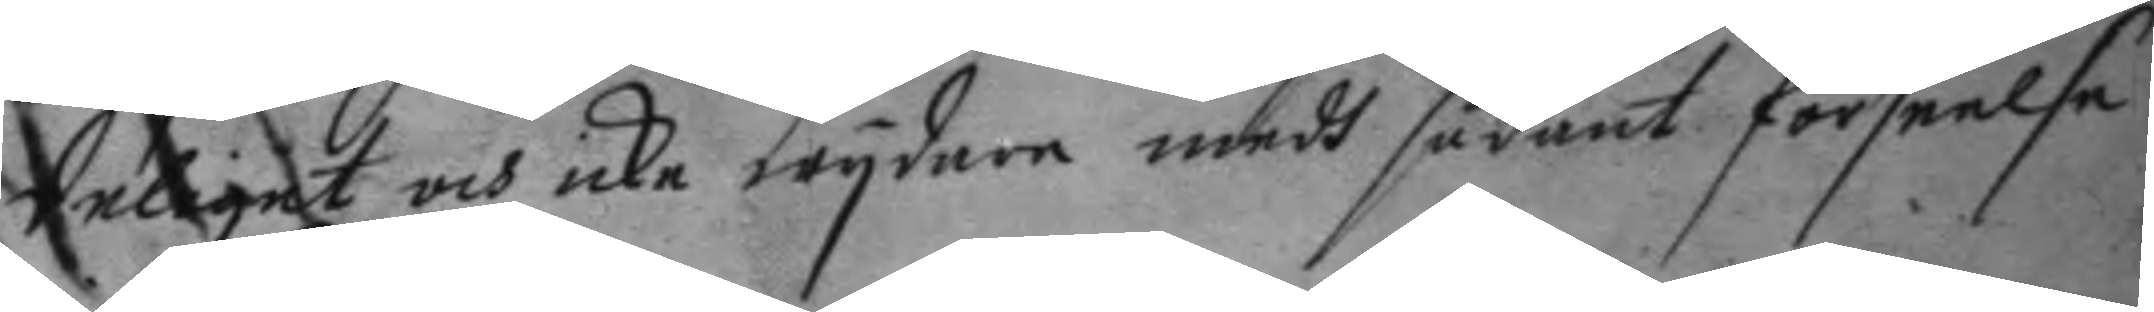deliget och icke wydare medh sådant förseelse
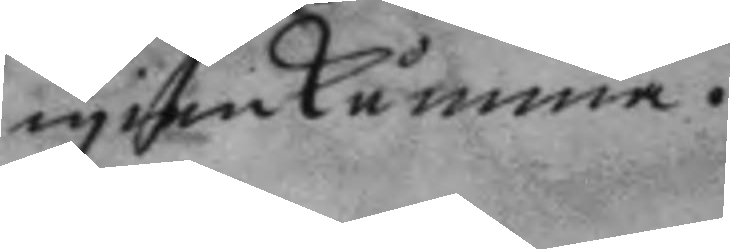igienkåmma.
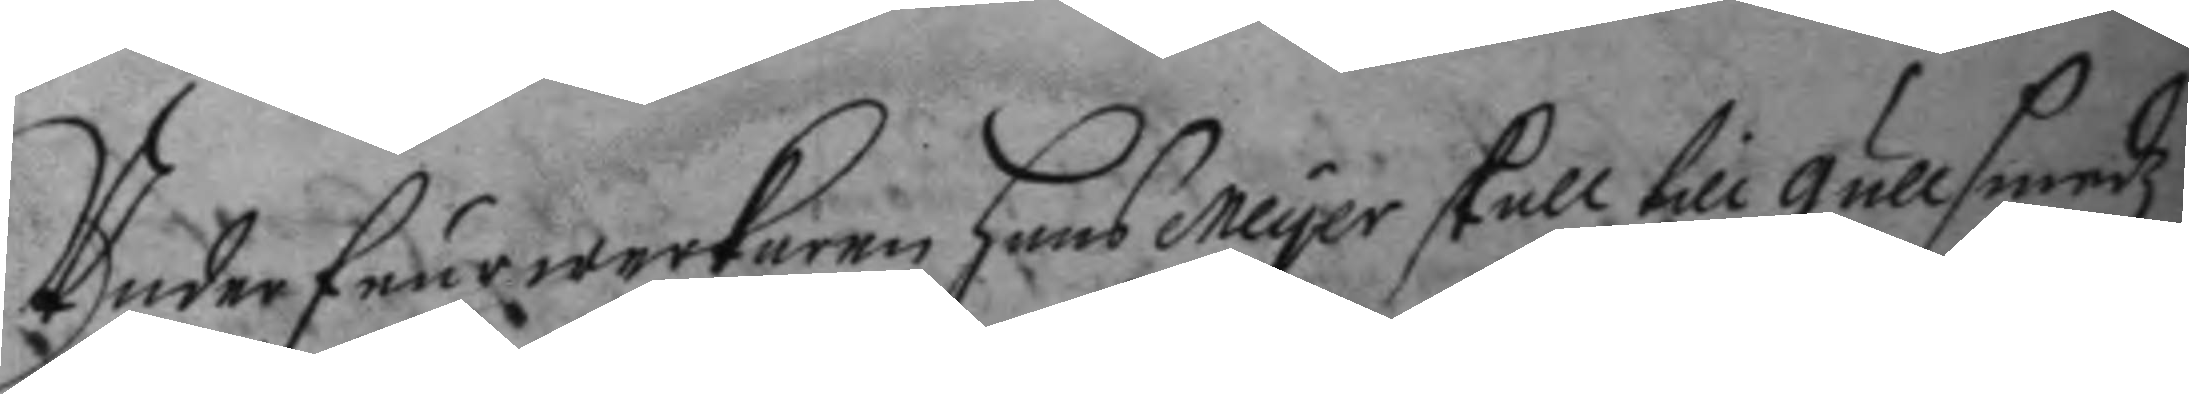Underfeurwerkaren hans Meyer skall till gullsmedz¬
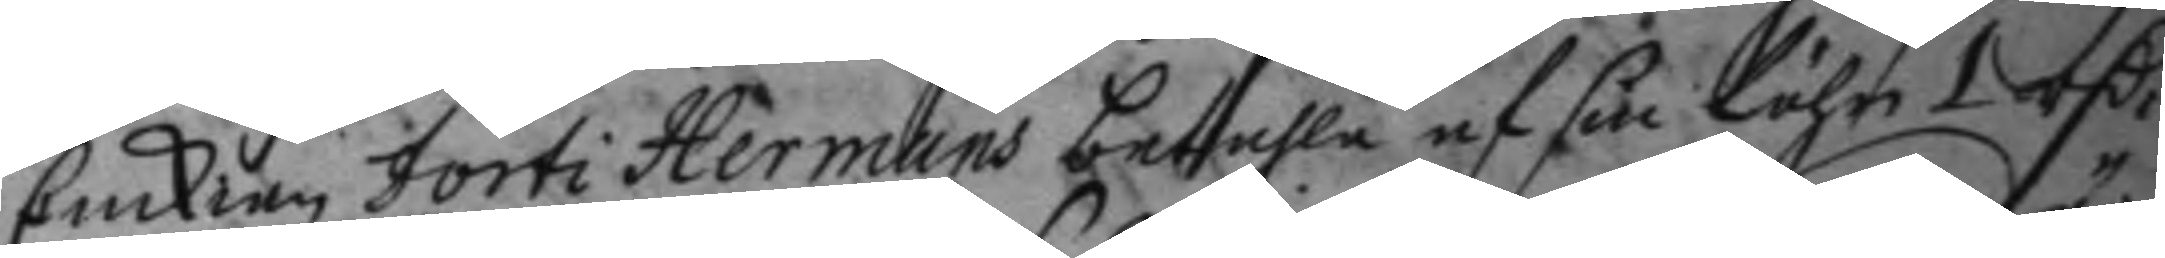Enckian Dorti Hermans betahla af sin löhn 1 rC.r
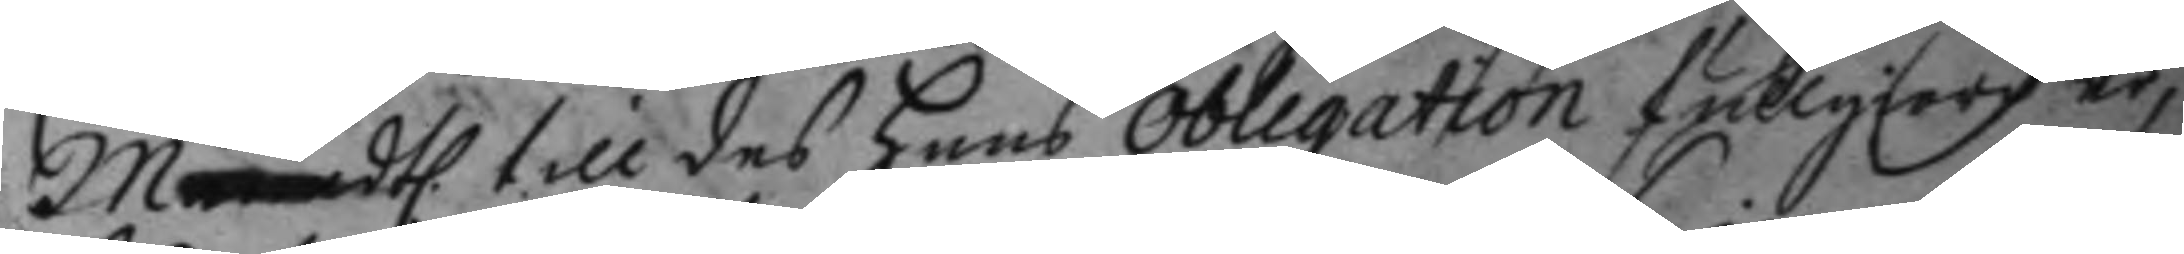Mdtl. till des hans obligation fullgiord är,
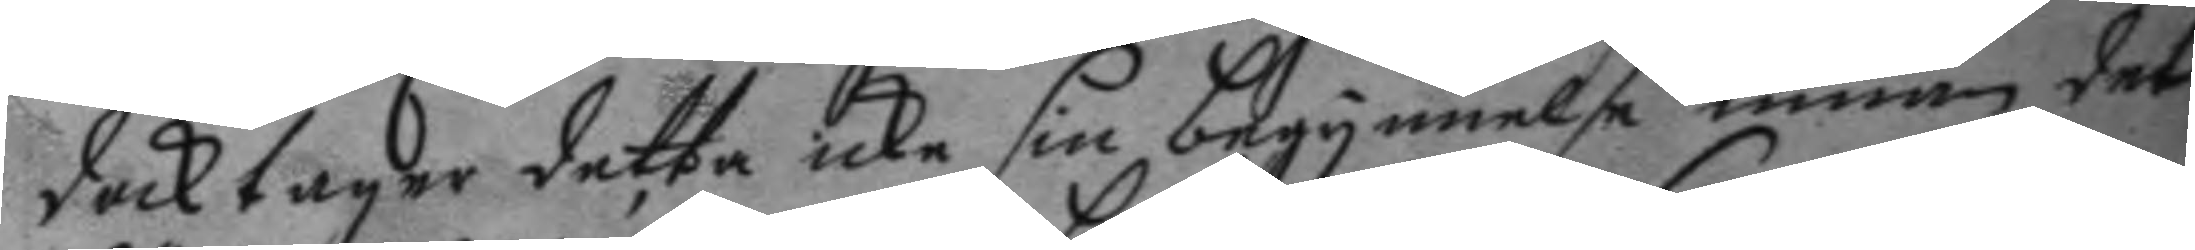dock tager detta icke sin begynnelse innan det
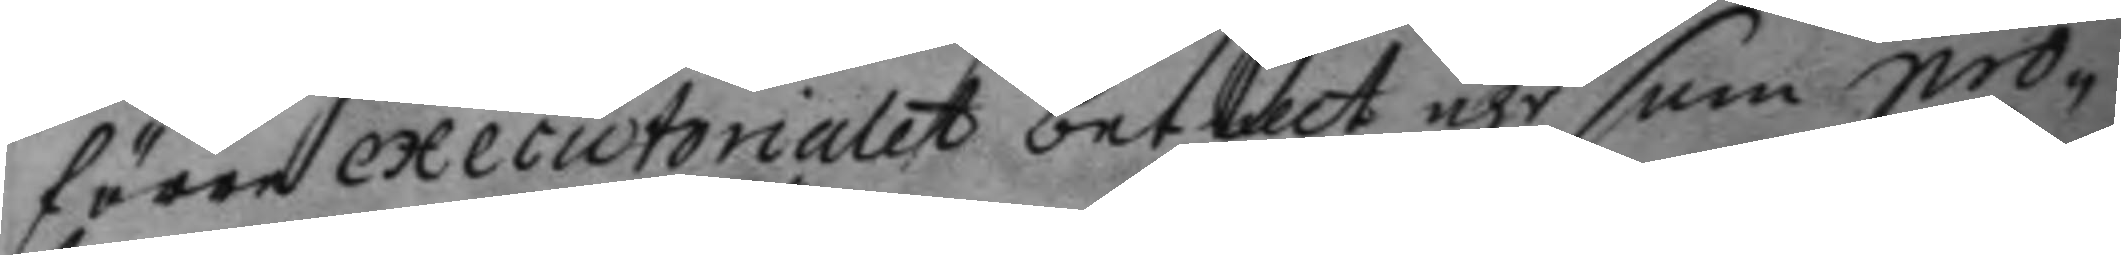fören execiotorialet betalt äre som pro¬
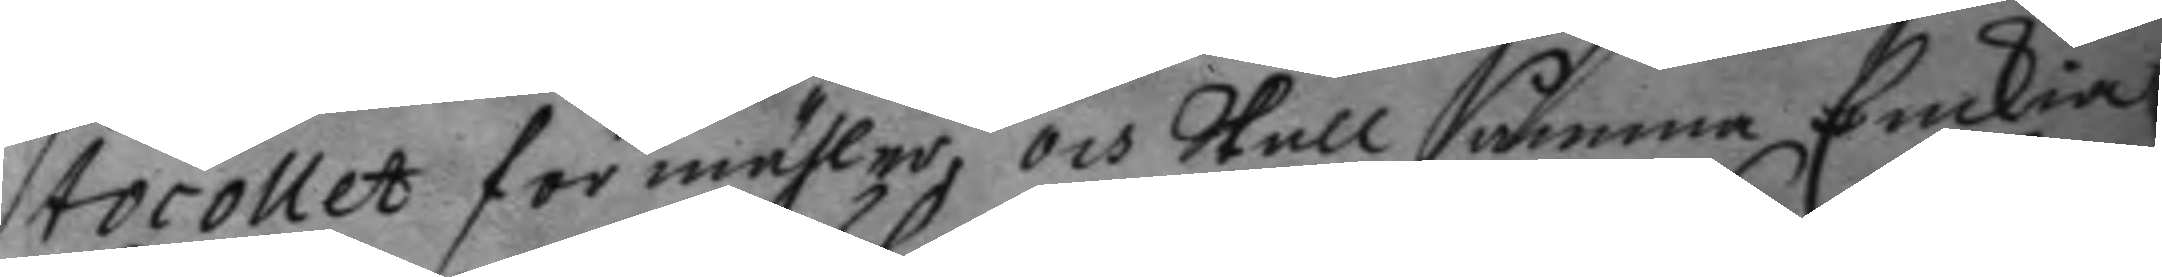tocollet förmähler, och skall samma Enckia
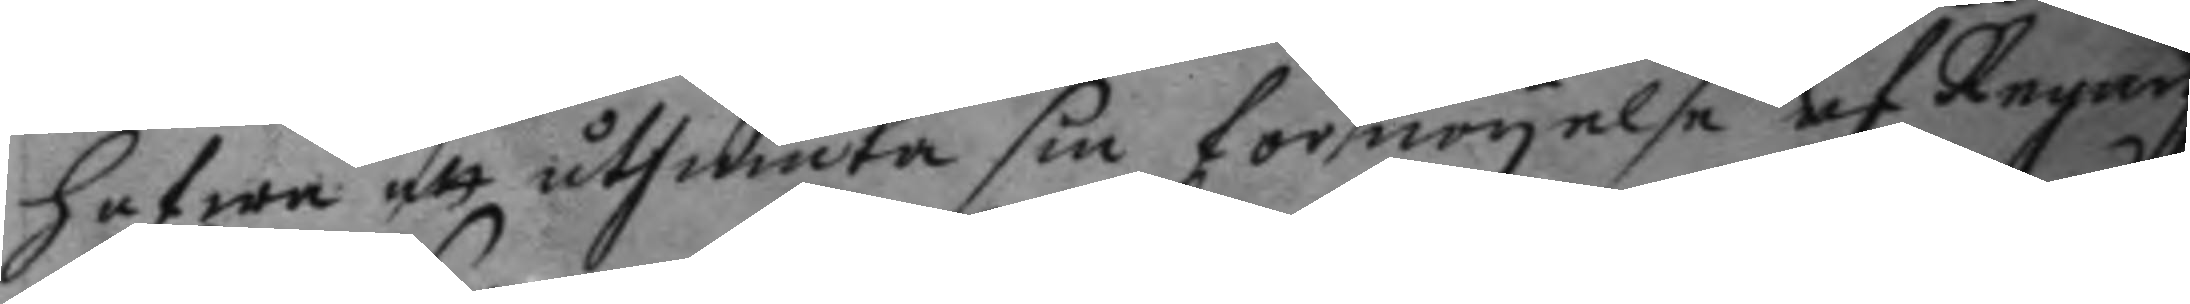hafwa att åtniuta sin förnöyelse af Regary
